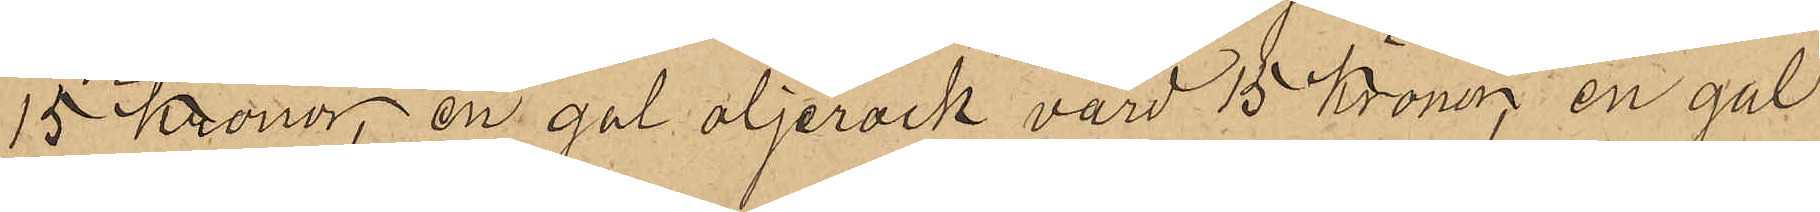15 kronor, en gul oljerock värd 15 Kronor, en gul
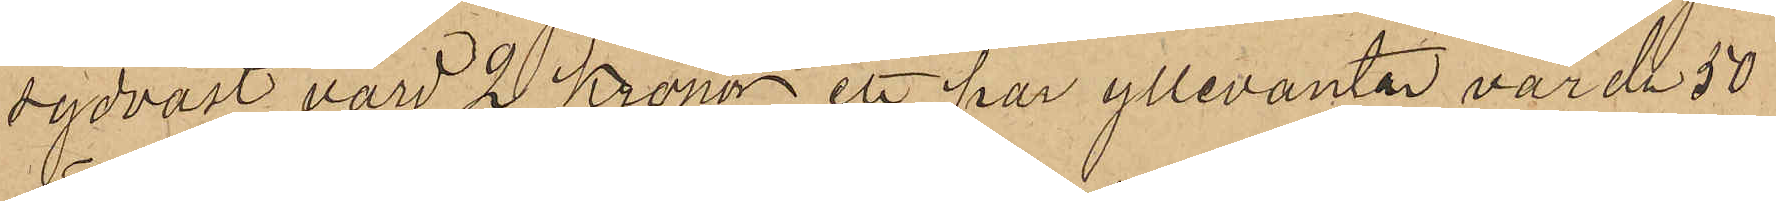sydväst, värd 2 Kronor ett par yllevantar, värda 50
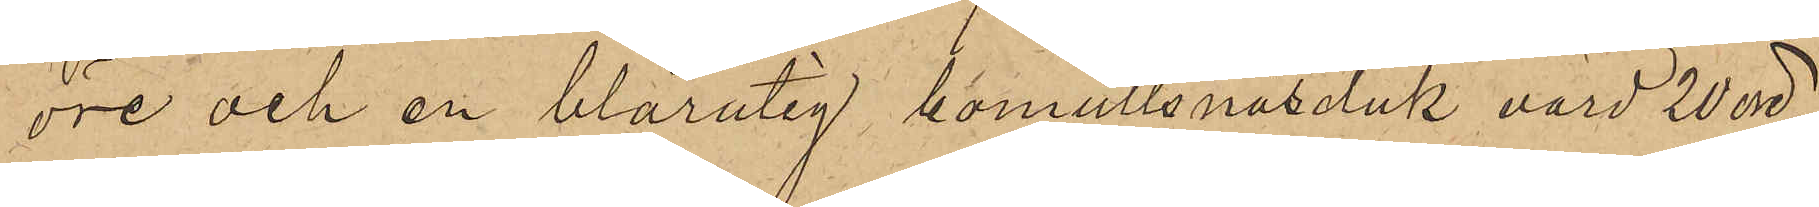öre och en blårutig bomullsnäsduk, värd 20 öre,
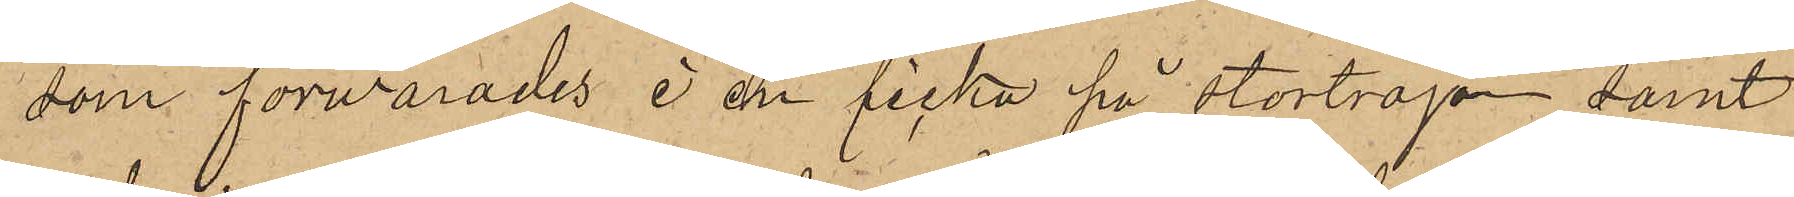som förvarades i en ficka på stortröjan samt
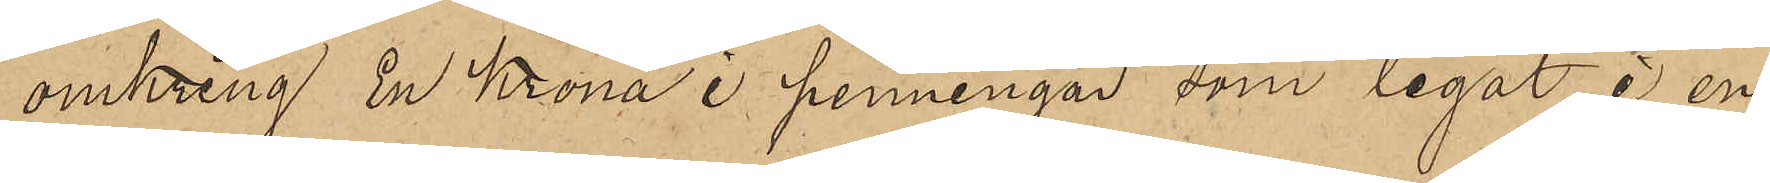omkring En Krona i penningar som legat i en
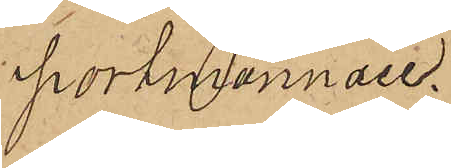portmonnaie.
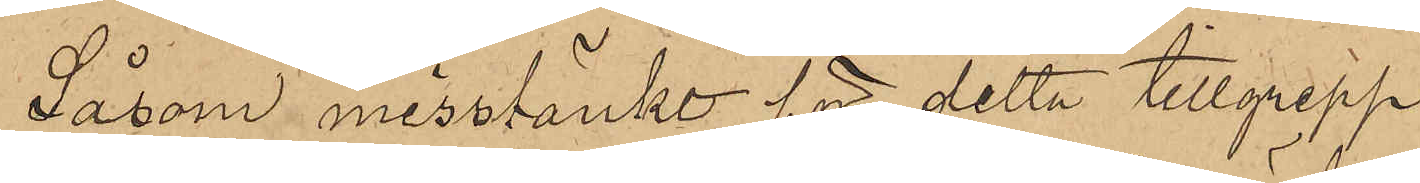Såsom misstänkt för detta tillgrepp
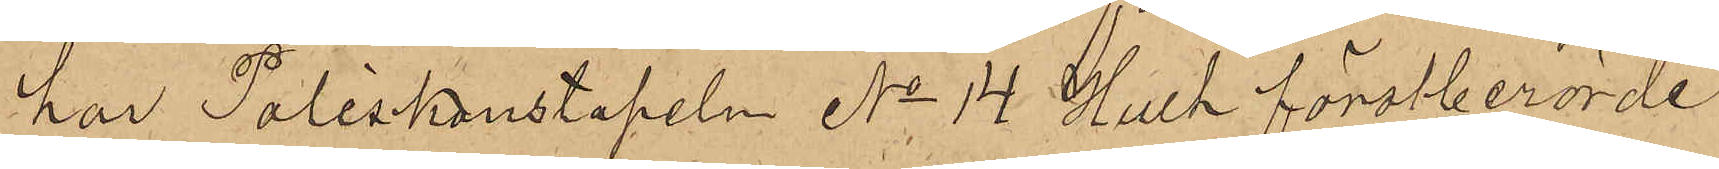har Poliskonstapeln No 14 Hult förstberörde
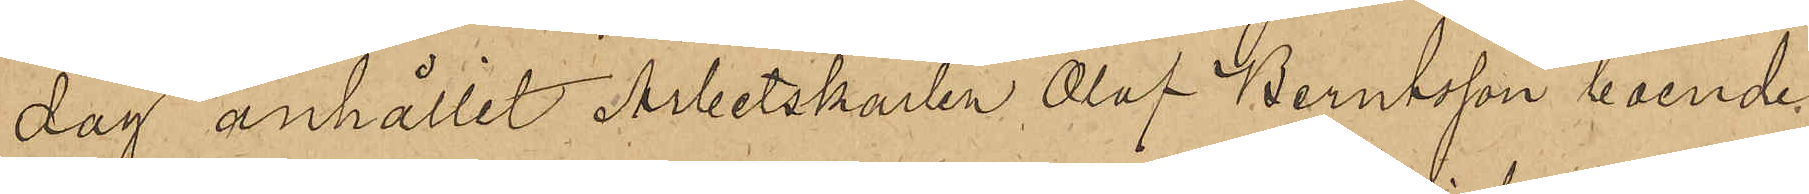dag anhållit Arbetskarlen Olof Berntsson boende
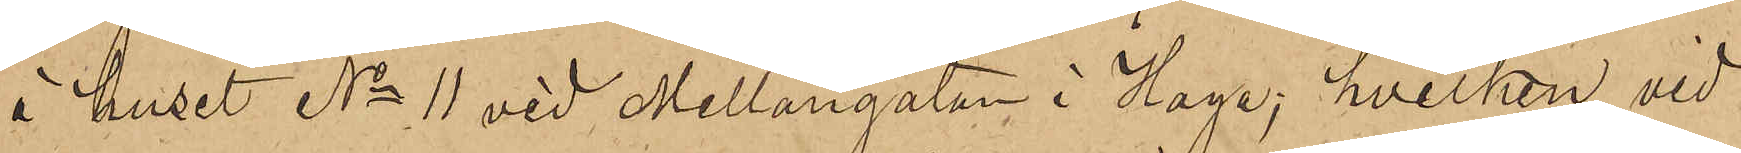i huset No 11 vid Mellangatan i Haga; hvilken vid
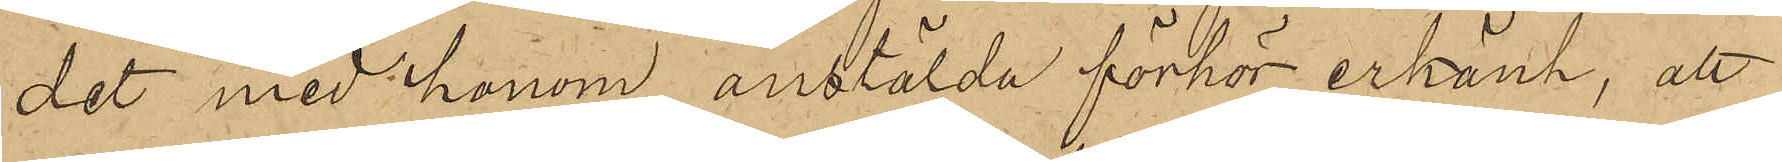det med honom anstälda förhör erkänt, att
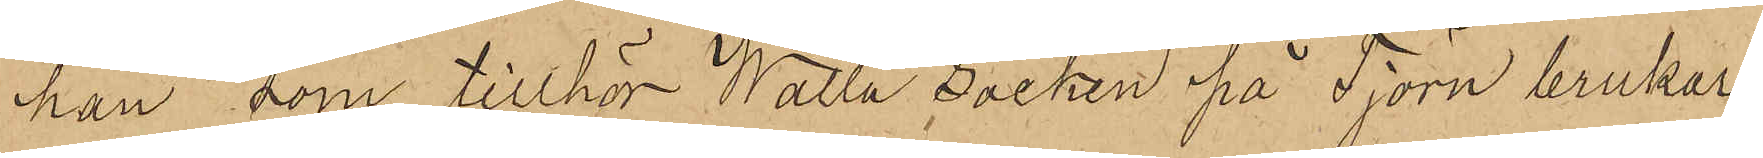han, som tillhör Walla Socken på Tjörn brukar
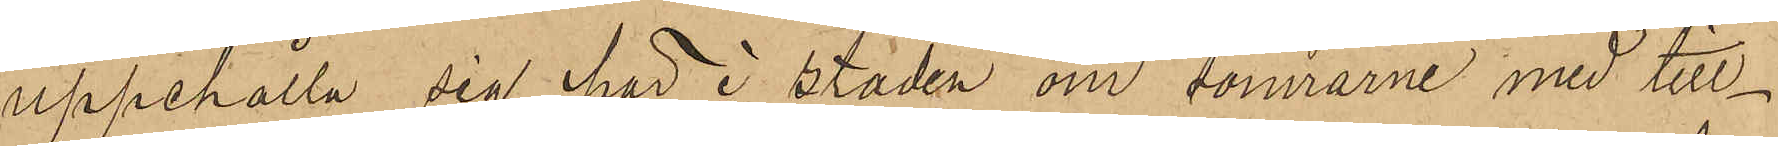uppehålla sig här i Staden om somrarne med till¬
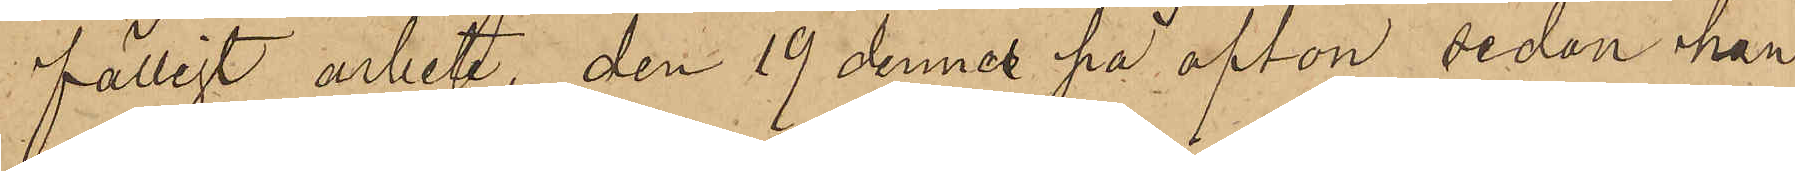fälligt arbete, den 19 dennes på afton sedan han
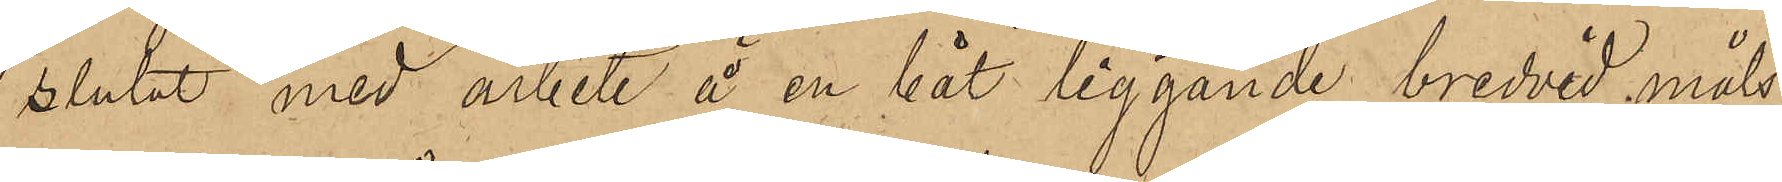slutat med arbete å en båt liggande bredvid måls¬
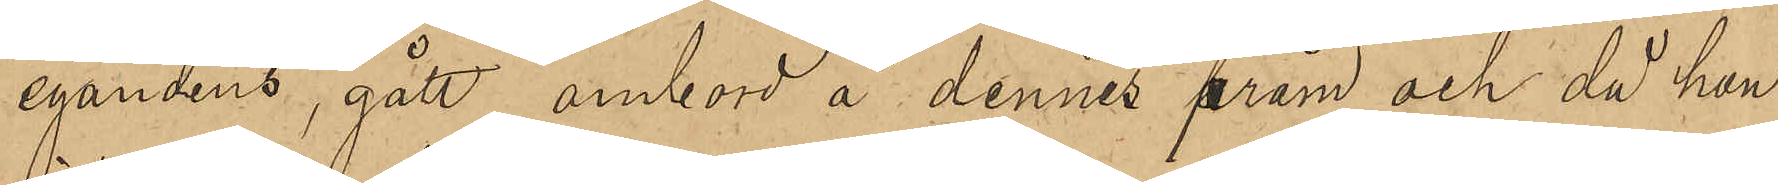egandens, gått ombord å dennes pråm och då han
